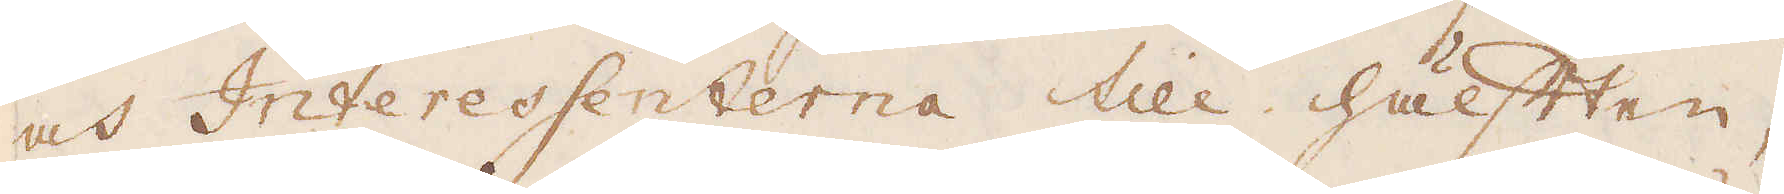och Interessenterna till hälften,
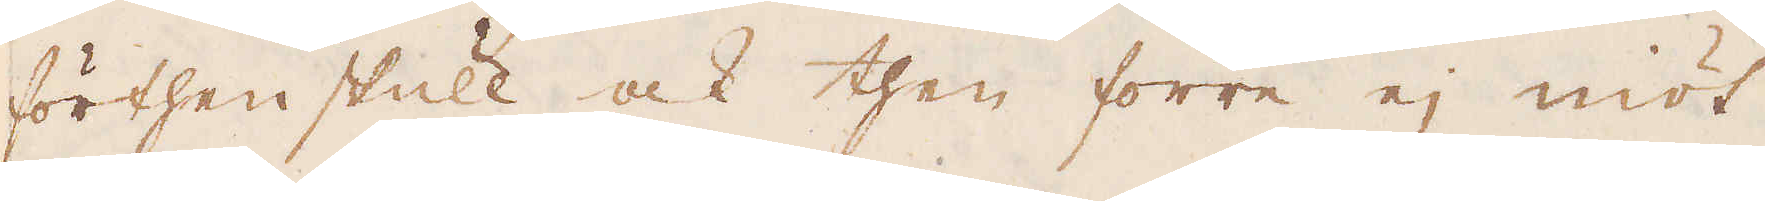förthenskull ock then förre ej niöt
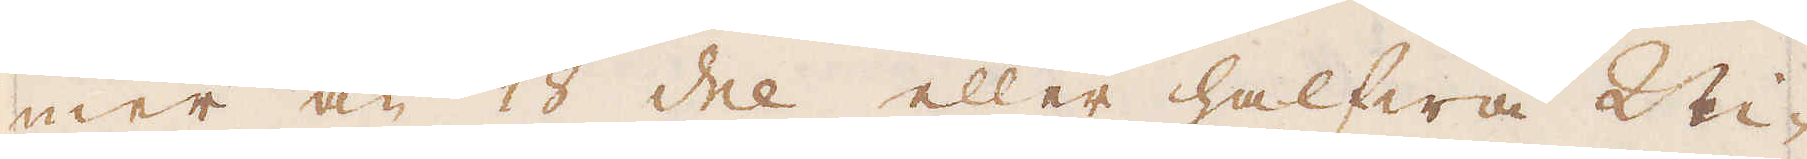mer än 1/18 del eller halfwa Ni-
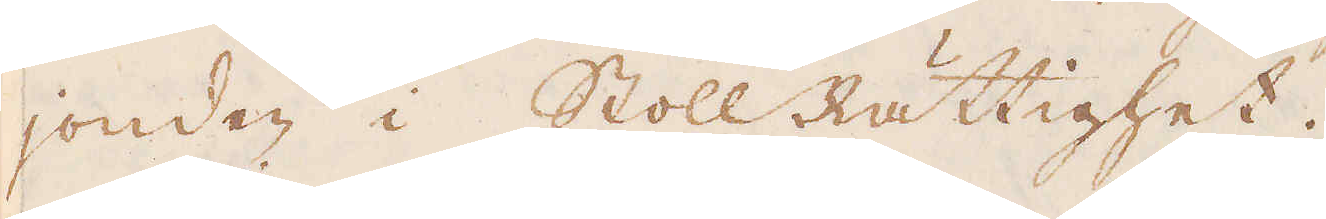jonden i StollRättighet.
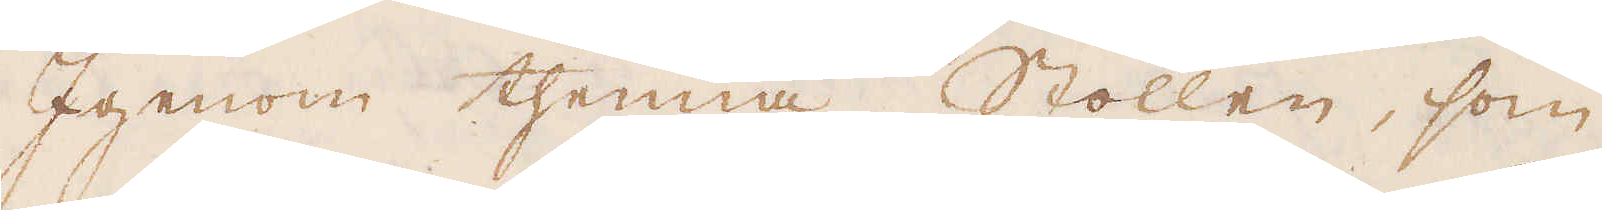Igenom thenna Stollen, som
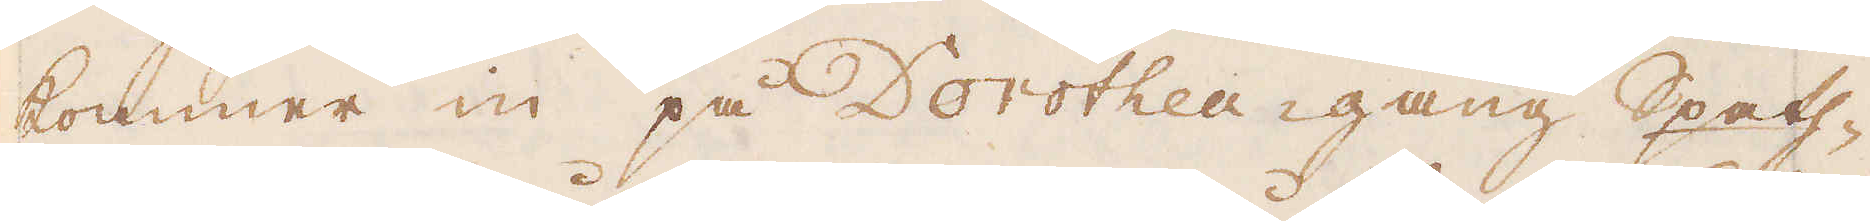kommer in på Dorothea-gang Spath-
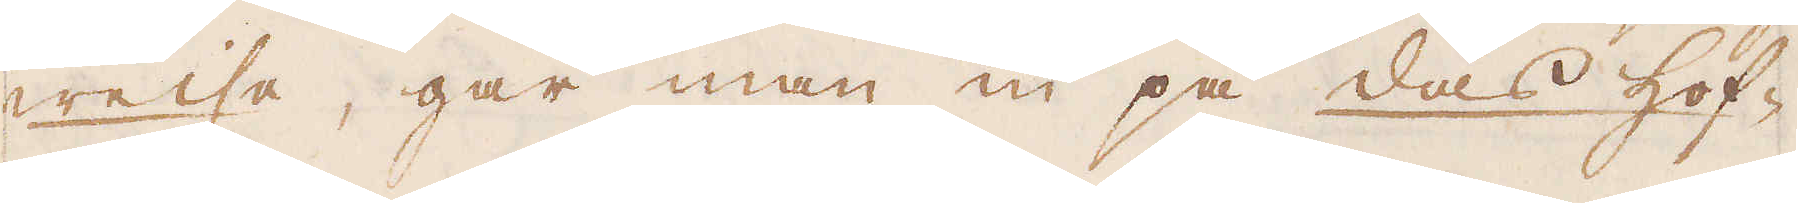weise, går man in på das hof-
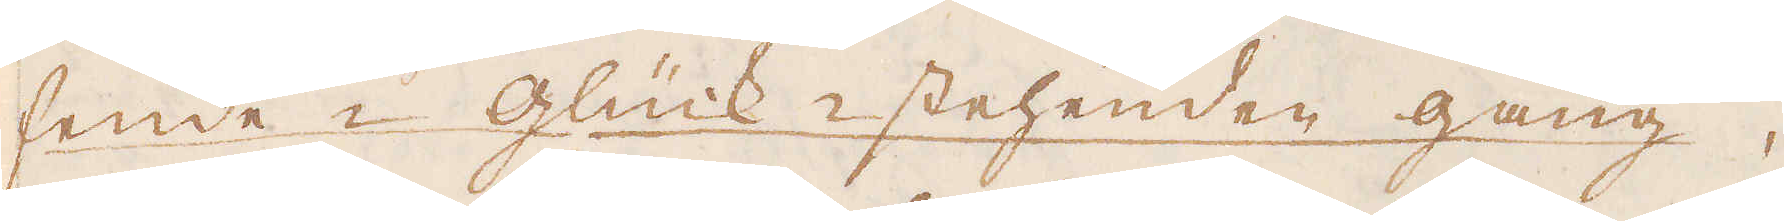hende-Glück-stehenden gang,
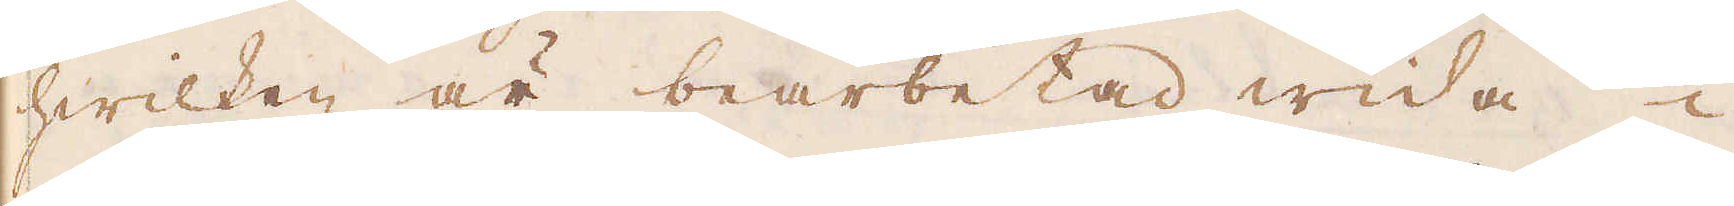hwilken är bearbetad wida i
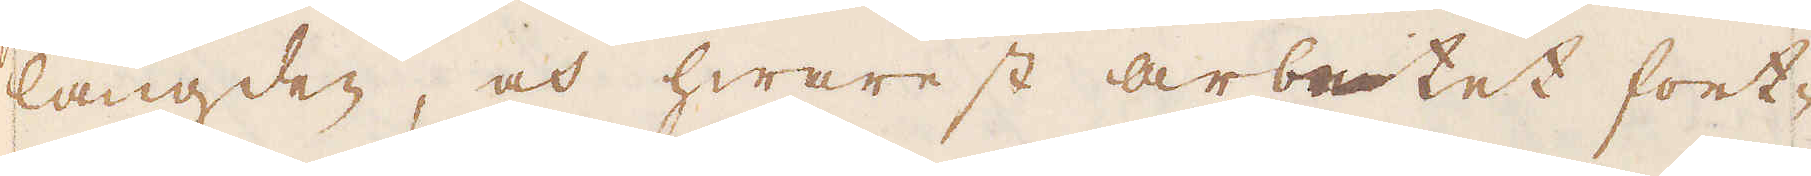längden, och hwarest arbetet fort-
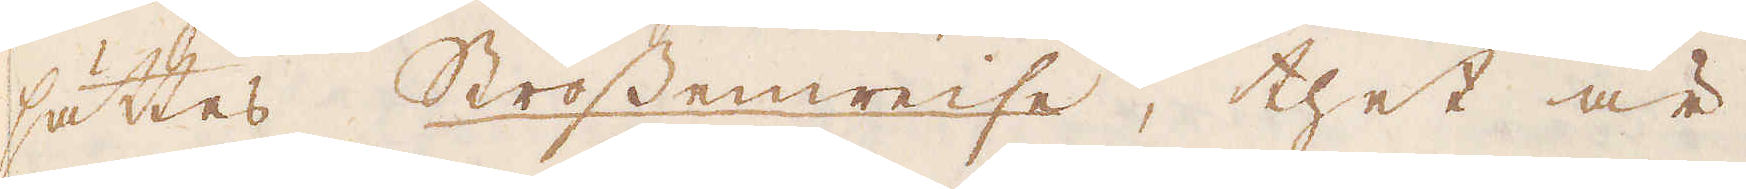sättes Strossenweise, thet är
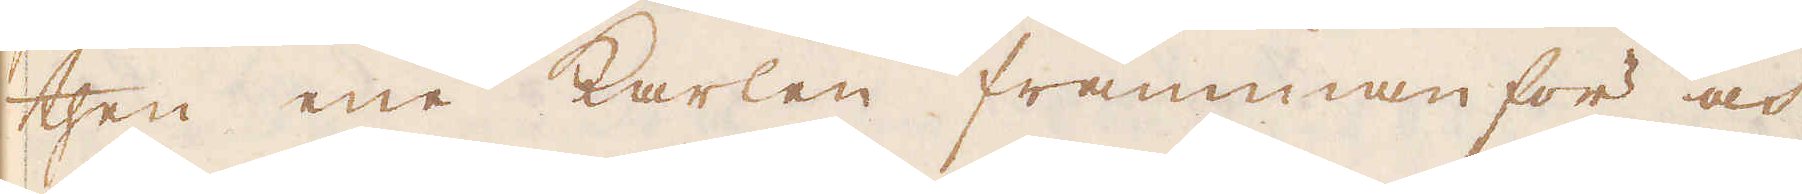then ene karlen framman för och
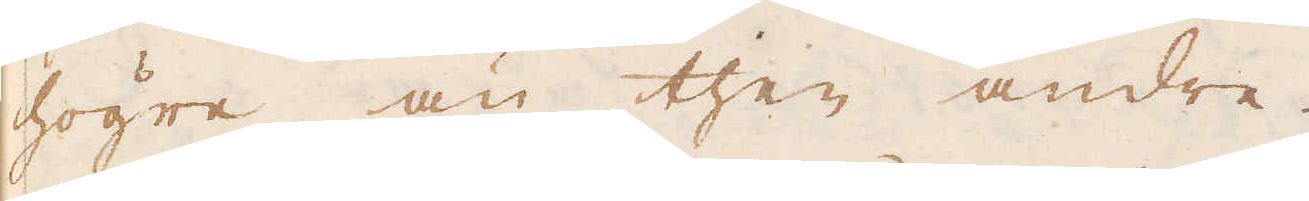högre än then andre.
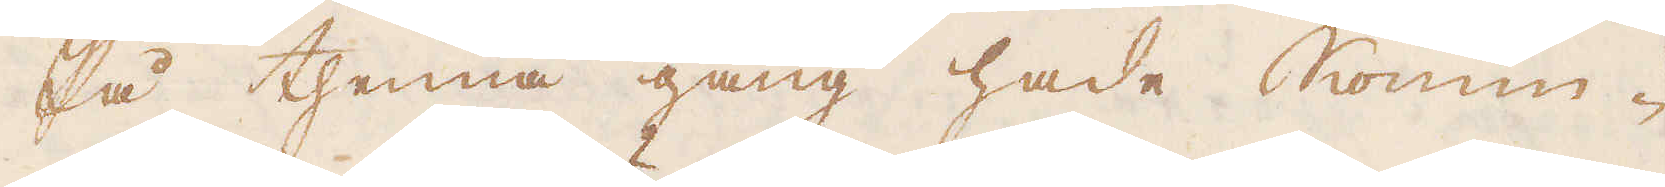På thenna gång hade Konun-
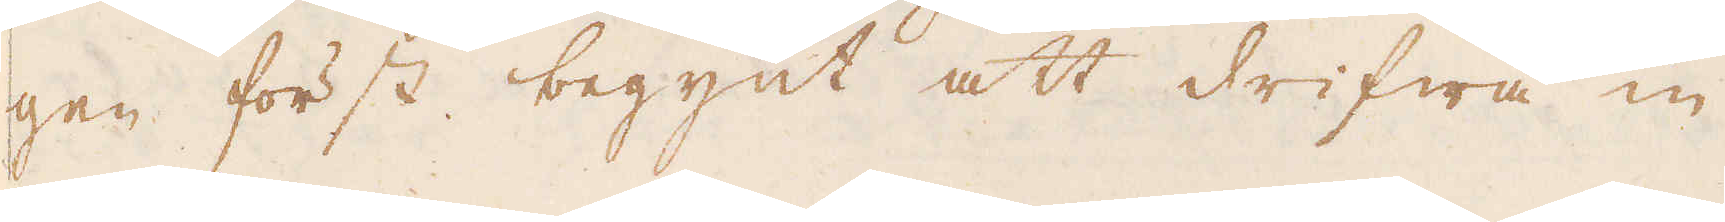gen först begynt att drifwa in-
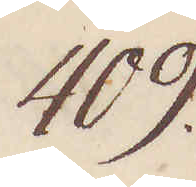409.
